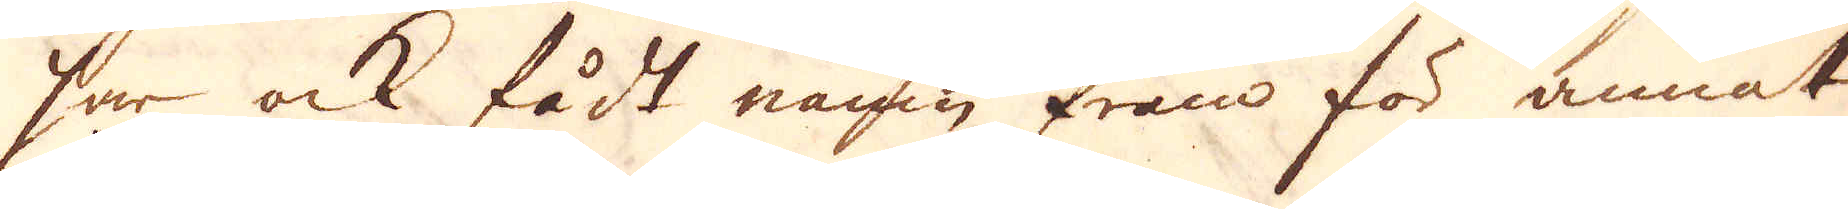har ock fådt namn fram för annat
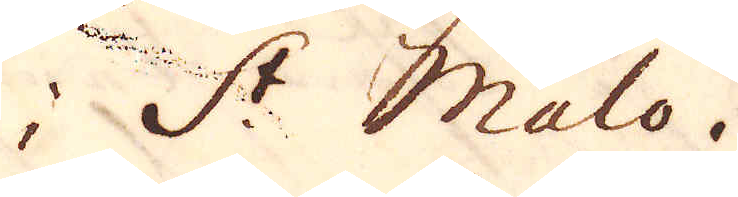i S:t Malo.
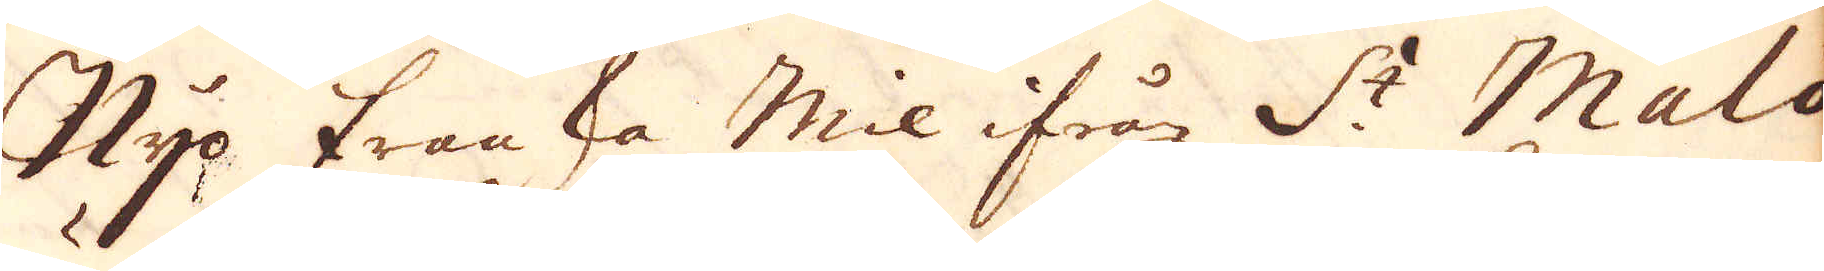Nijo Franska Mil ifrår S:t Malo
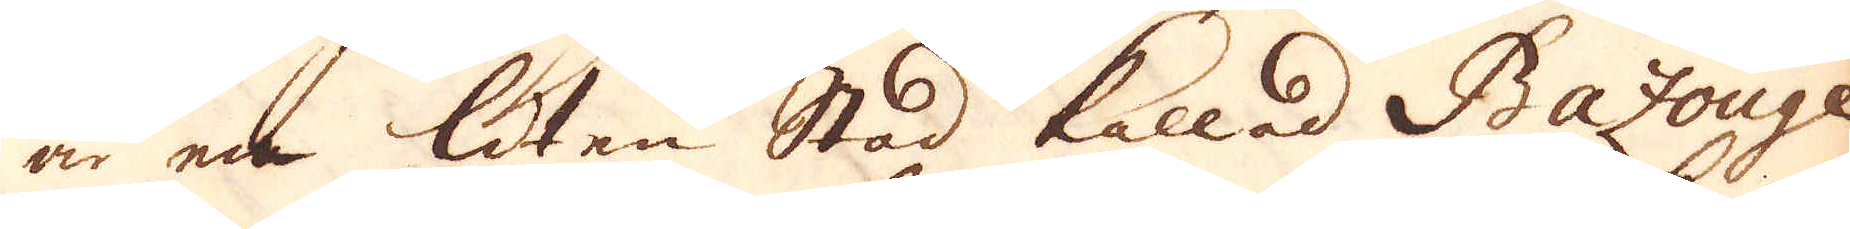är en liten Stad kallad Bazouge
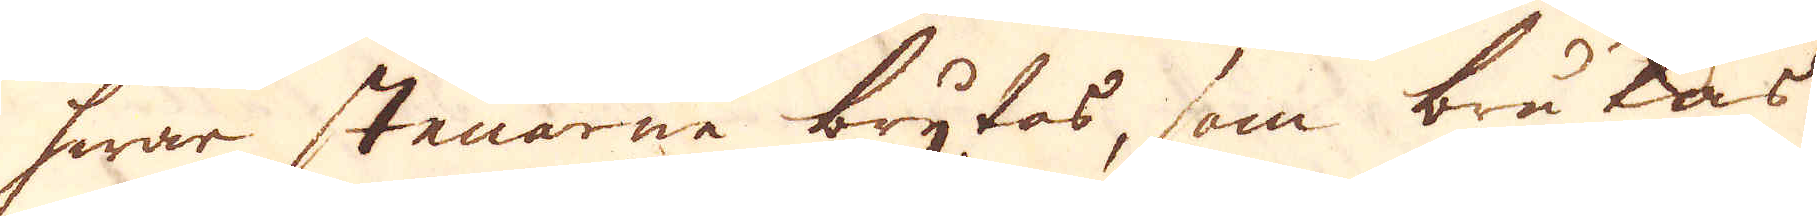hwar stenarne brytas, som brukas
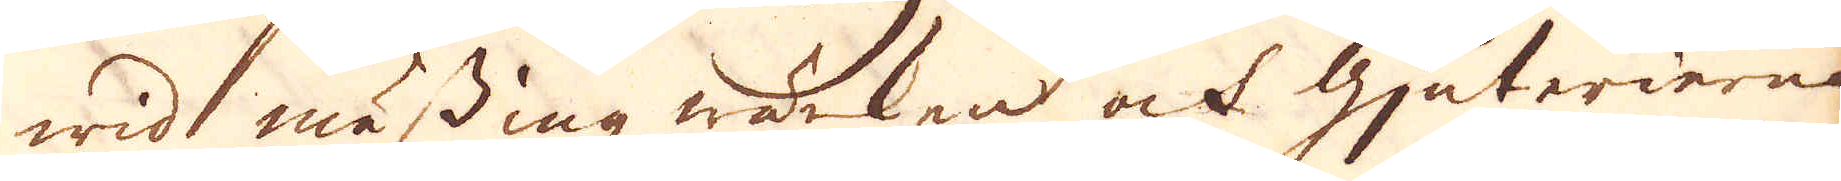wid mässing wärken ock Gjuterierne
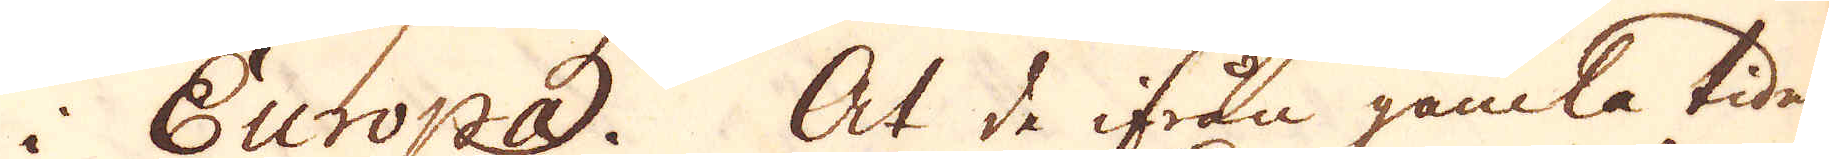i Europa. At de ifrån gamla tider
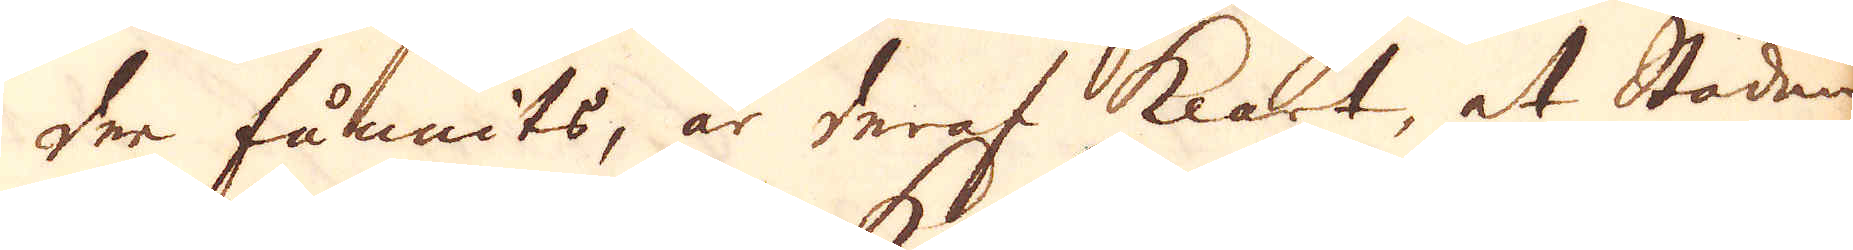der funnits, är deraf klart, at Staden
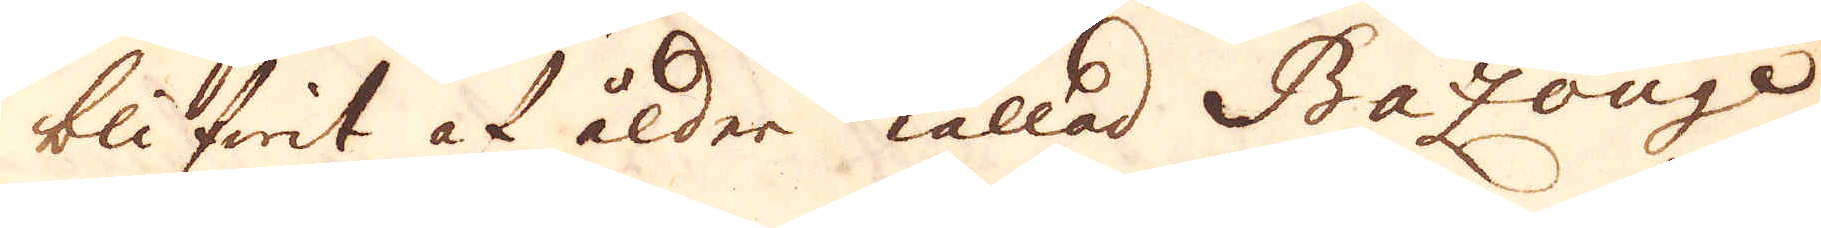blifwit af ålder kallad Bazonge
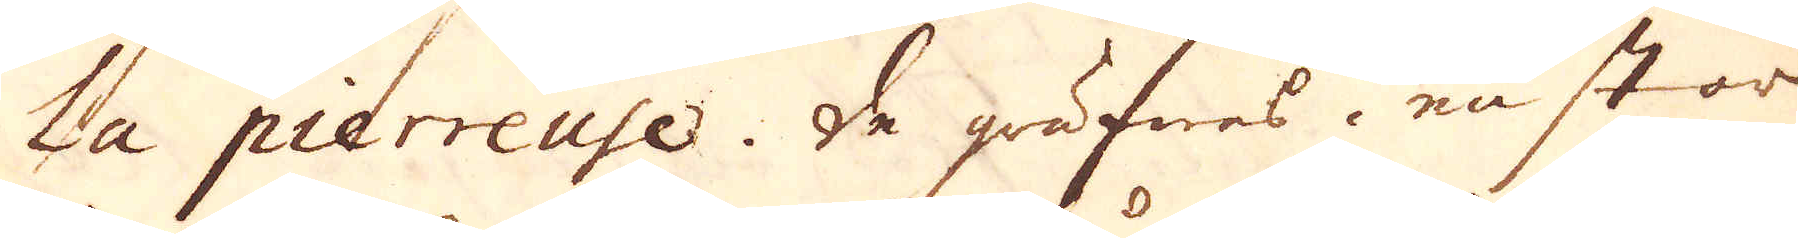La pierreuse. De gräfwes i en stor
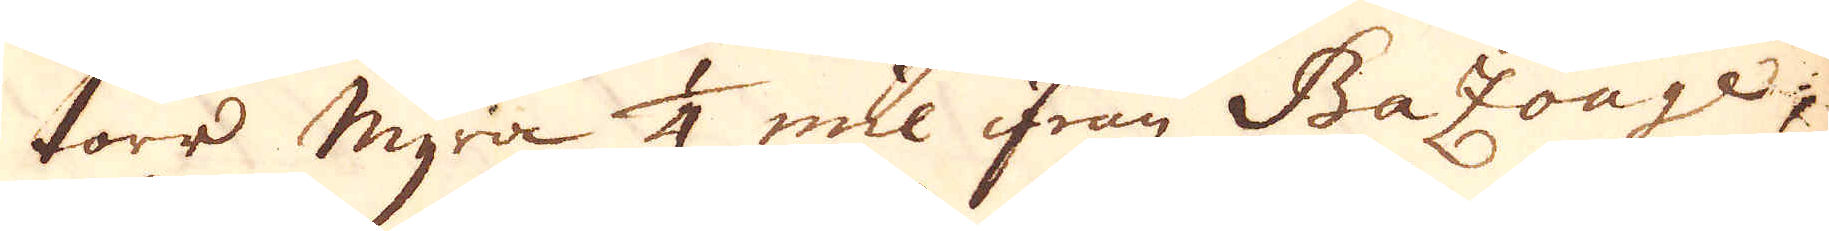torr myra 1/4 mil ifrån Bazonge
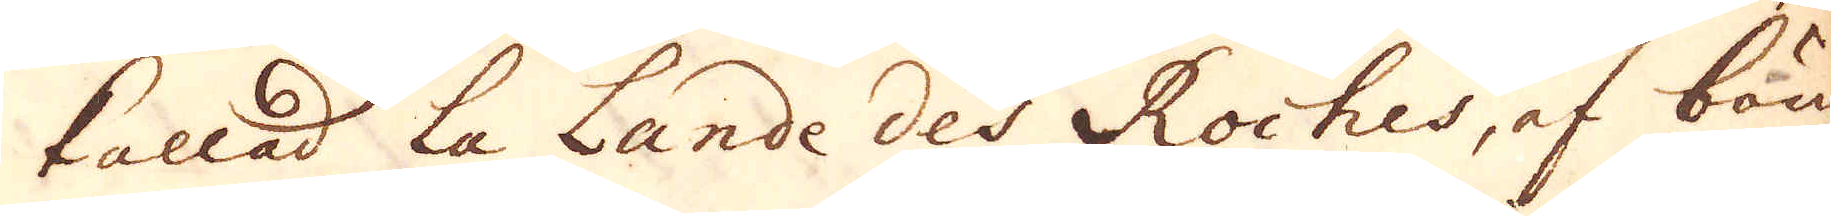kallad La Lande des Roches, af bön-
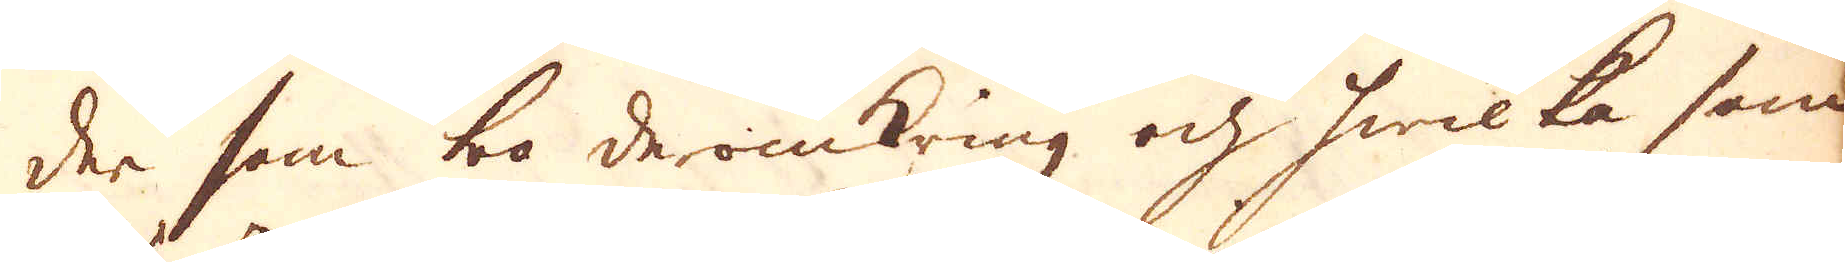der som bo deromkring och hwilka som
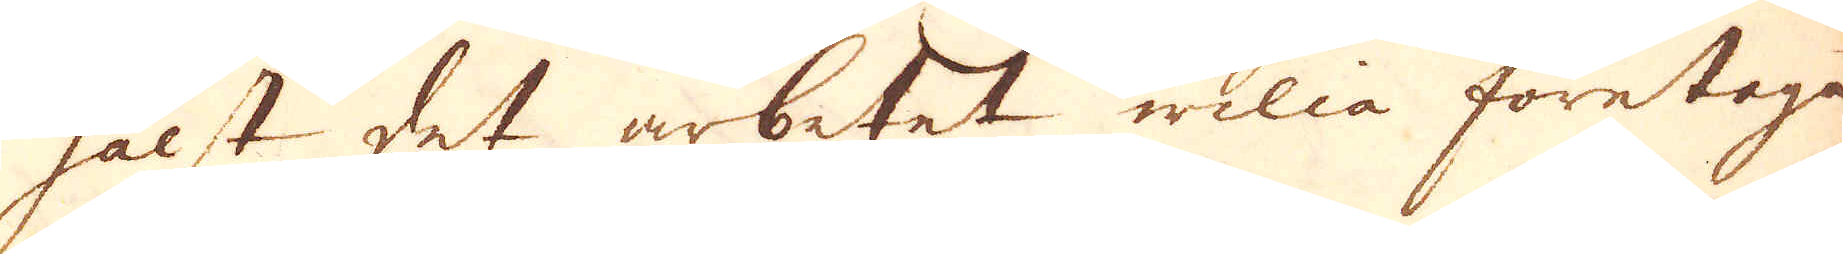hälst det arbetet wilia företaga
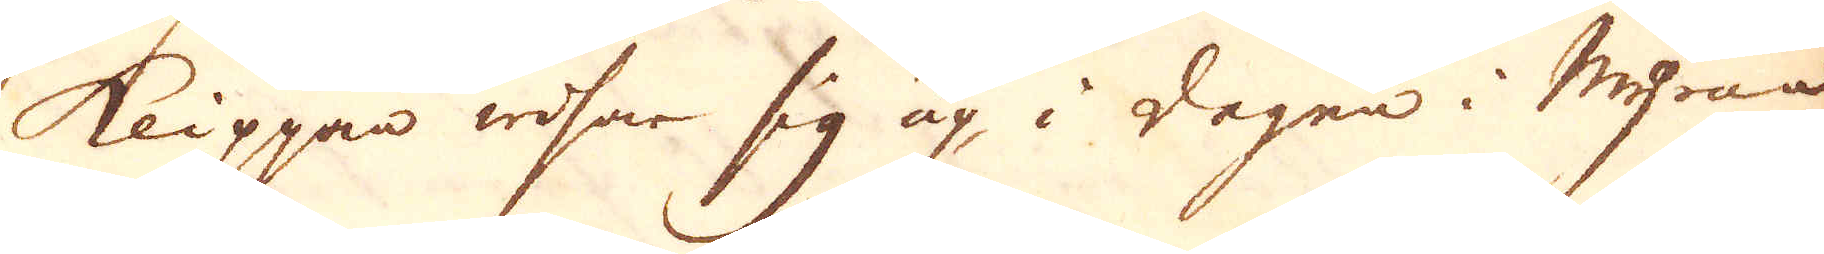klippan reser sig up i begen i Myren
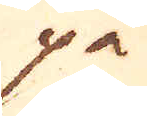på
